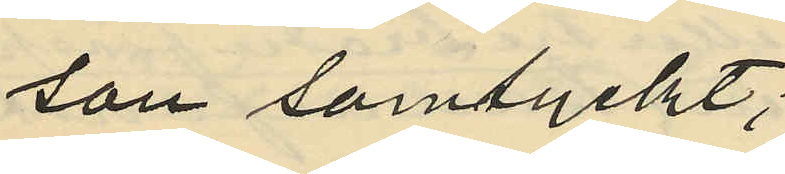son samtyckt;
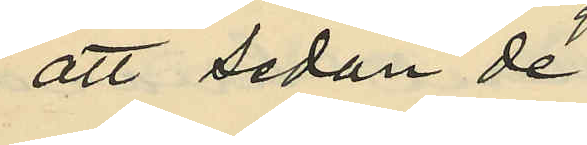att sedan de
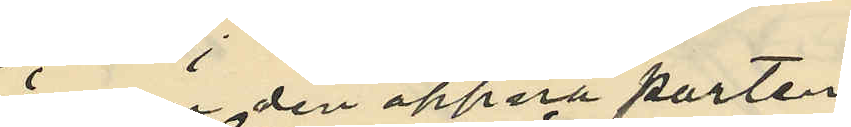genom den öppna porten
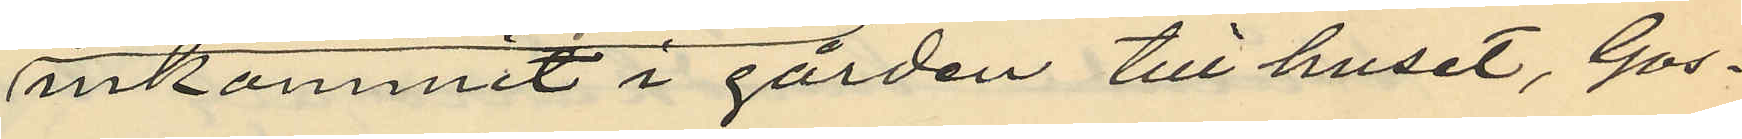inkommit i gårdan till huset, Gos¬
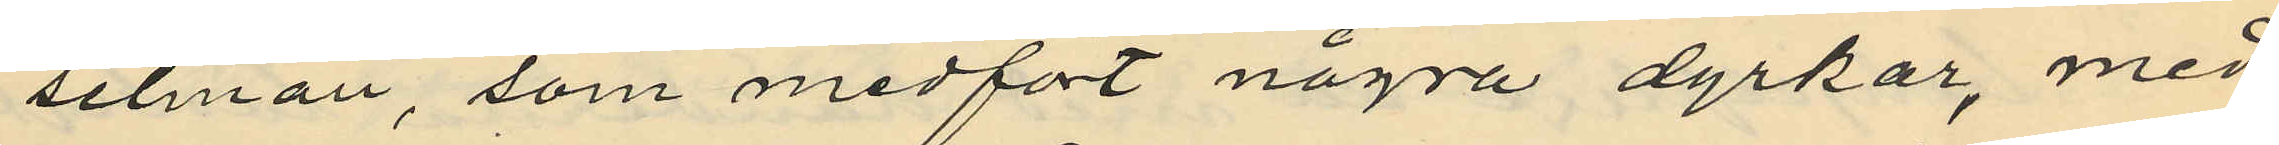selman, som medfört några dyrkar, med
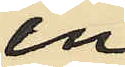en
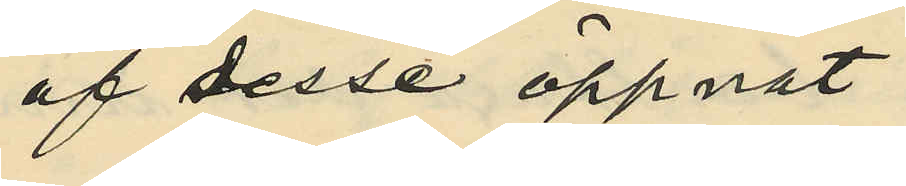af desse öppnat
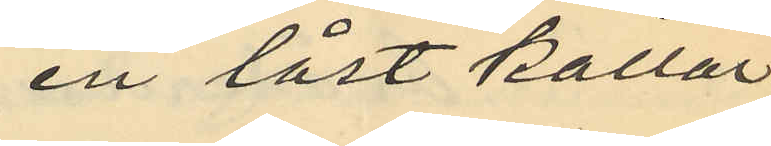en låst källar¬
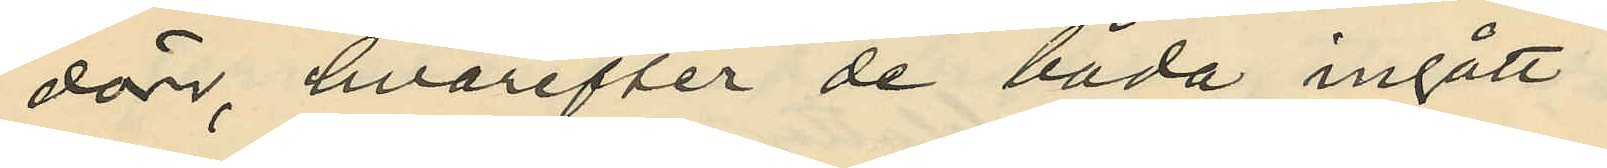dörr, hvarefter de båda ingått
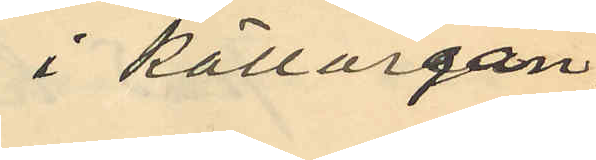i källargån¬
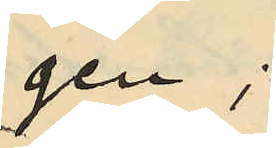gen;
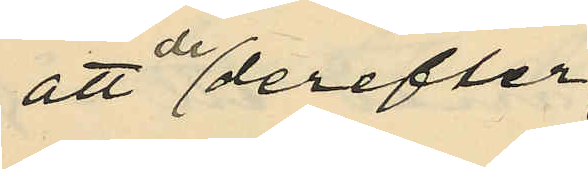att derefter
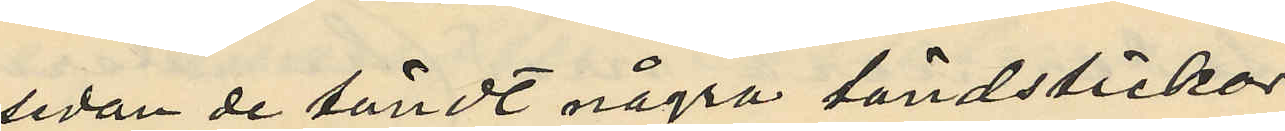sedan de tändt några tändstickar
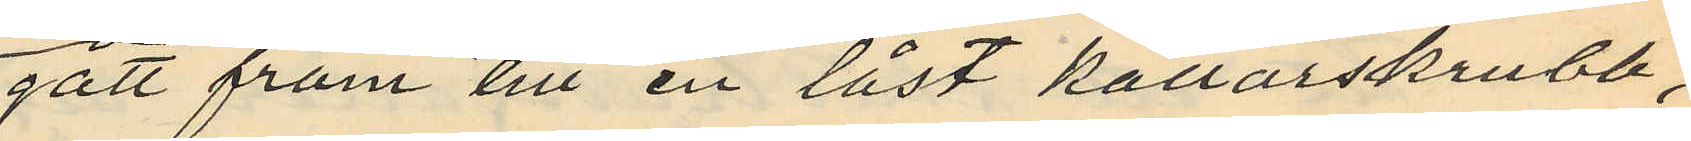gått fram till en låst källarskrubb,
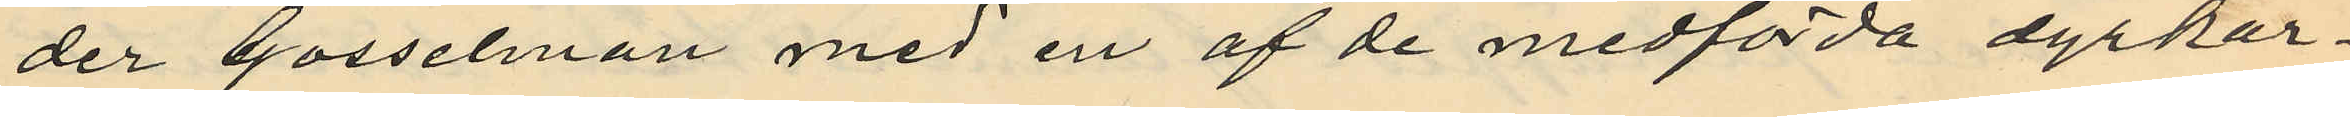der Gosselman med en af de medförda dyrkar¬
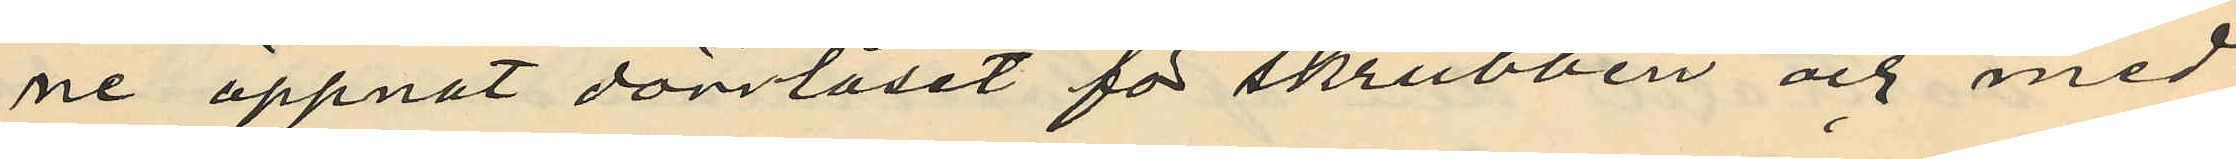ne öppnat dörrlåset för skrubben och med
